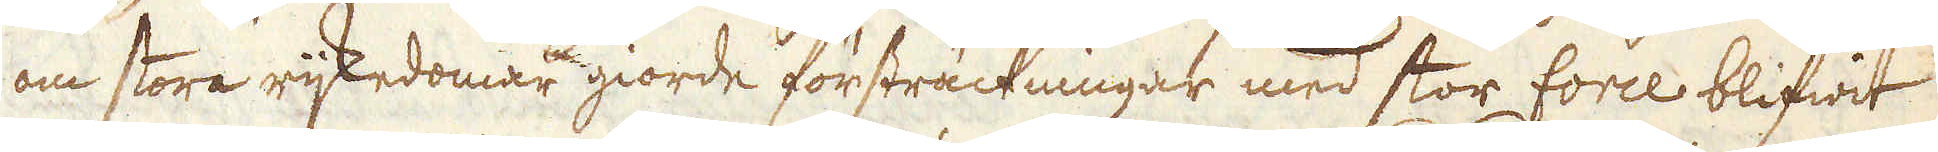om stora rijkedomar giorde försträckningar med stor force blifwit
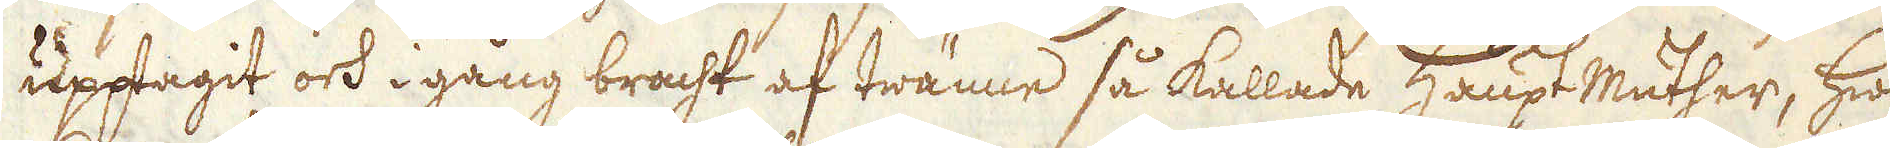upptagit och i gång bracht af twänne så kallade Haupt Mäther, hwil-
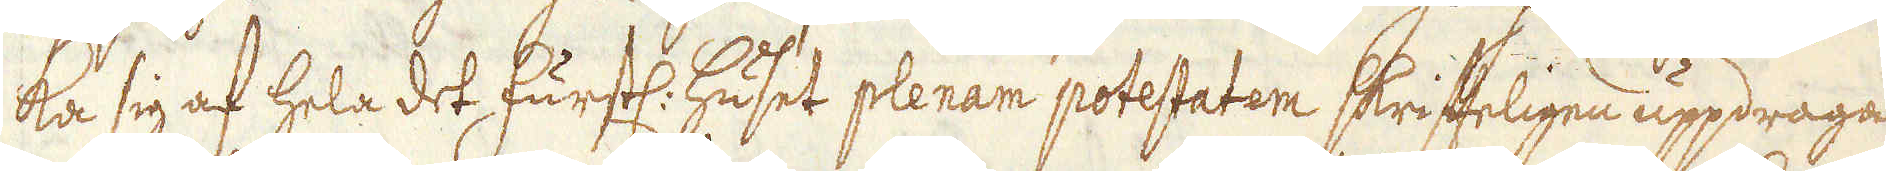ka sig af hela det furstl. huset plenam potestatem skrifteligen uppdraga
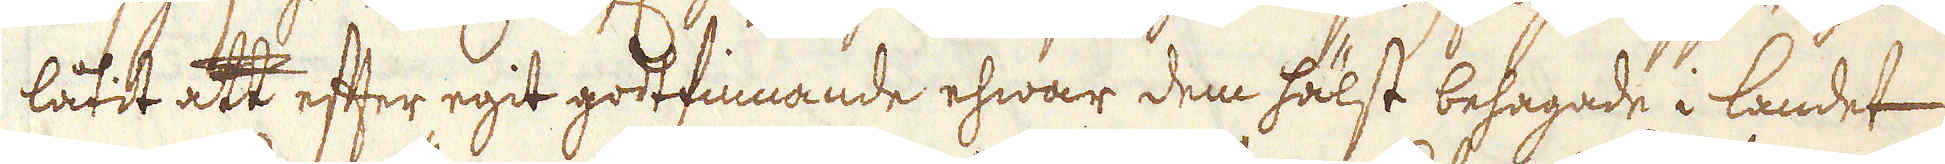låtit att efter egit godtfinnande ehwar dem hälst behagade i landet
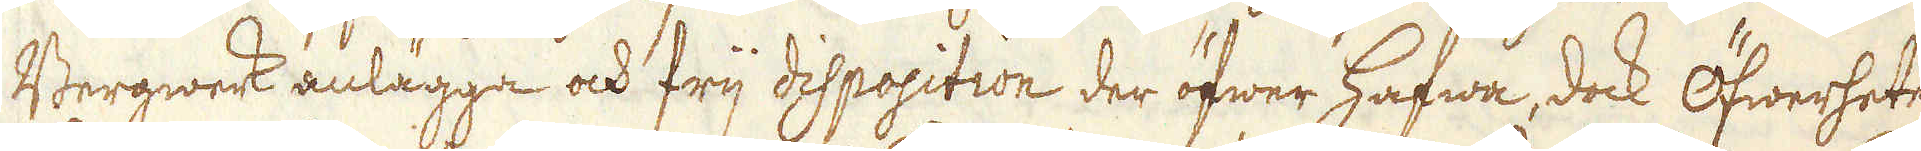Bergwerk anlägga och frij dispopition der öfwer hafwa, dock Öfwerheten
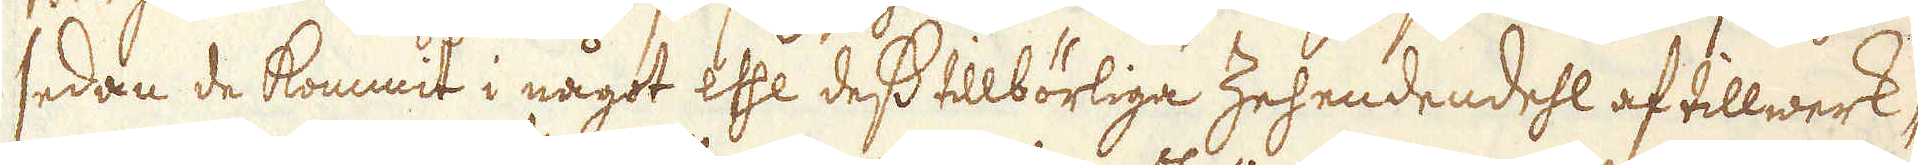sedan de kommit i något esse dess tillbörliga Zehendendehl af tillwerk-
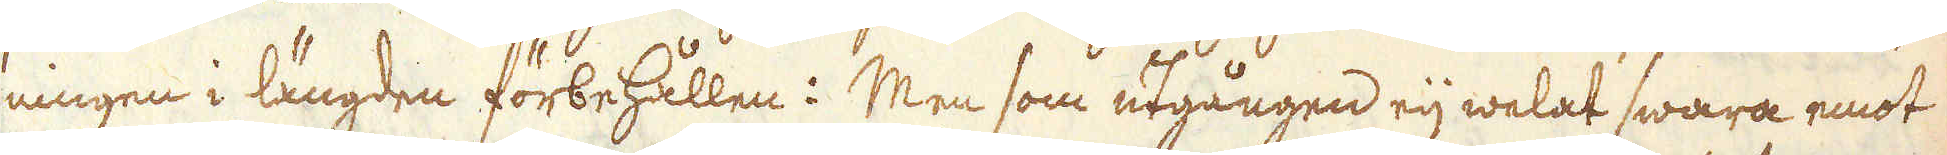ningen i längden förbehållen: Men som utgången eij welat swara emot
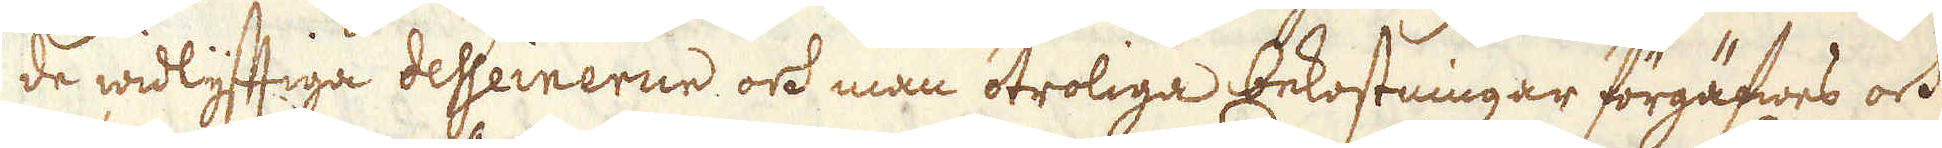de widlyftiga desseinerne och man otroliga bekostningar förgäfwes och
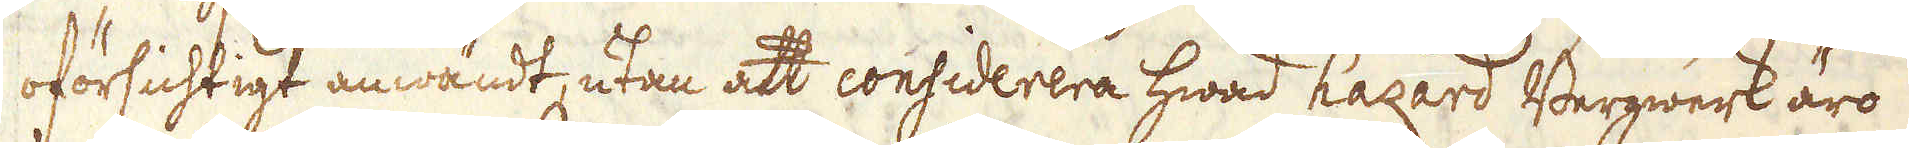oförsichtigt anwändt, utan att considerera hwad hazard Bergwerk äro
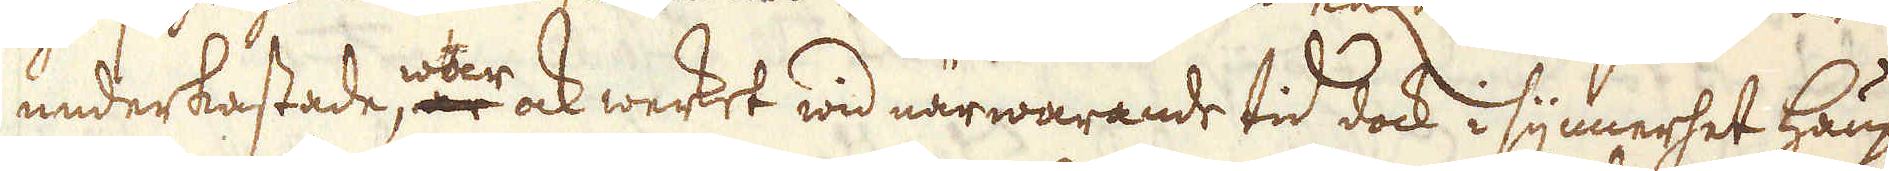underkastade åter ock werket wid närwarande tid dock i synnerhet Haupt-
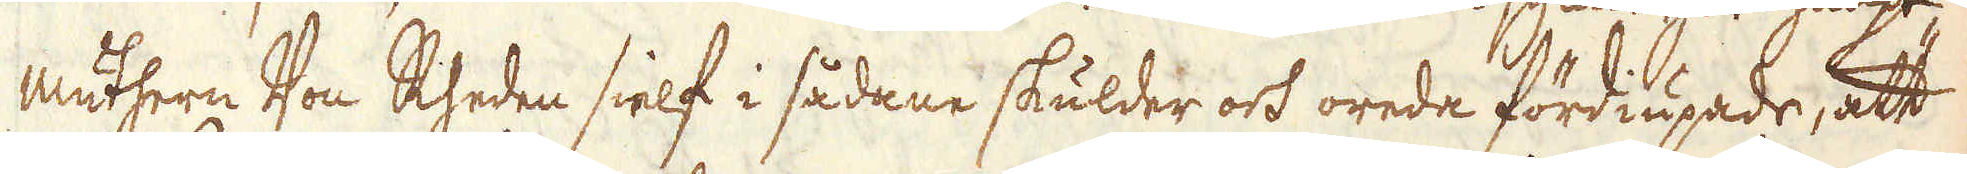mäthern Von Rheden sielf i sådane skulder och orede fördiupade, att
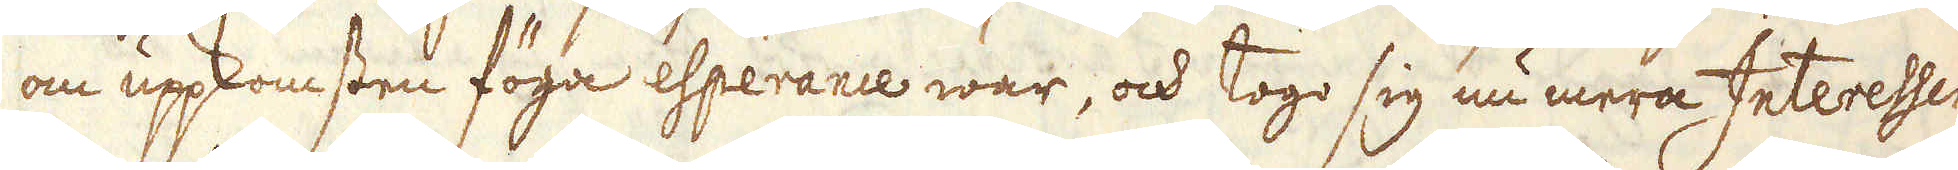om uppkomsten föga esperance war, och togo sig nu mera Interessen-
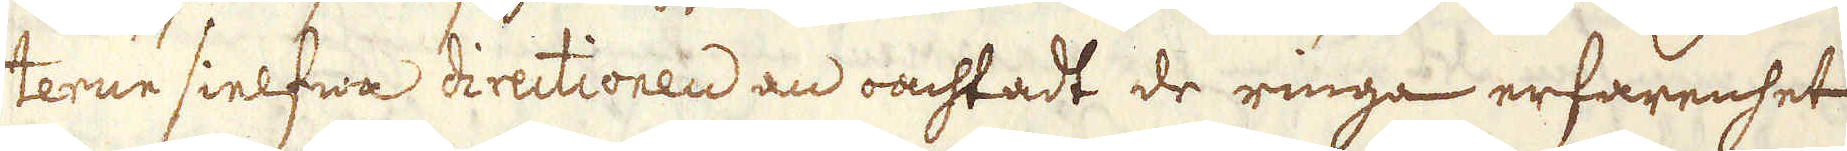terne sielfwa directionen an oachtadt de ringa erfarenhet
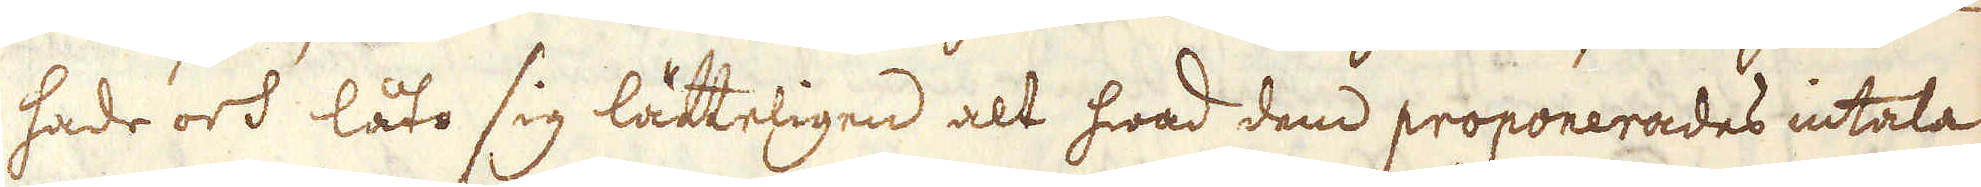hade och låto sig lätteligen alt hwad den proponerades intala
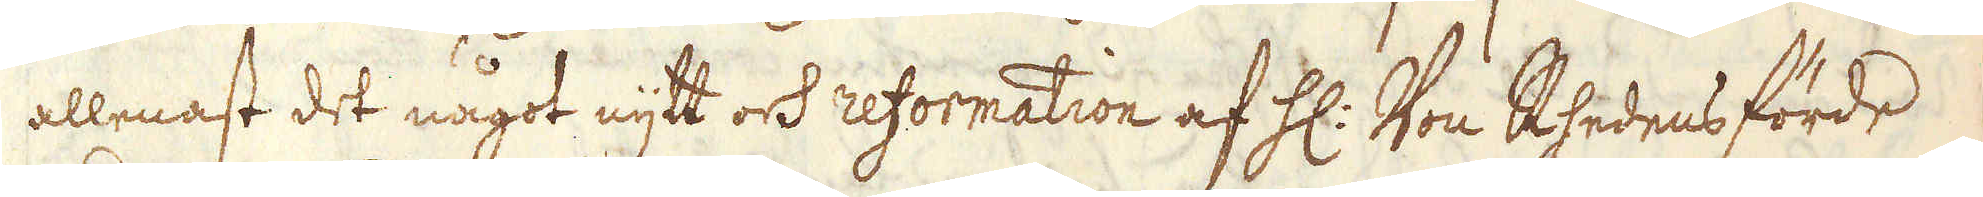allenast det något nytt ock reformation af H: Von Rhedens förde
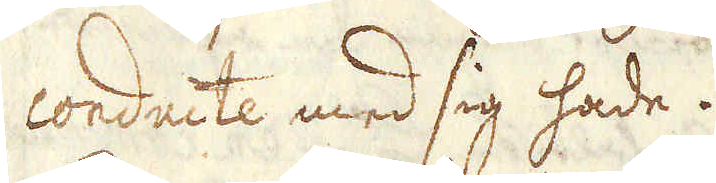conducte med sig hade.
